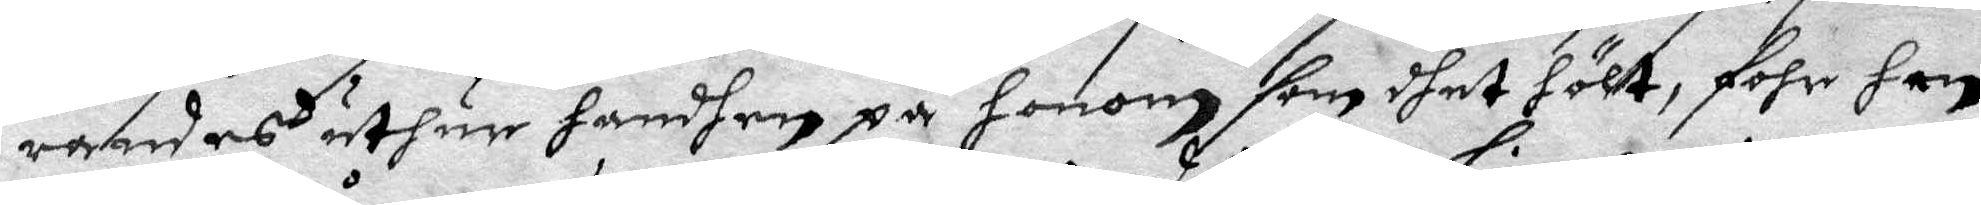randes uthur handhen på honom som dhet hölt, fohr han
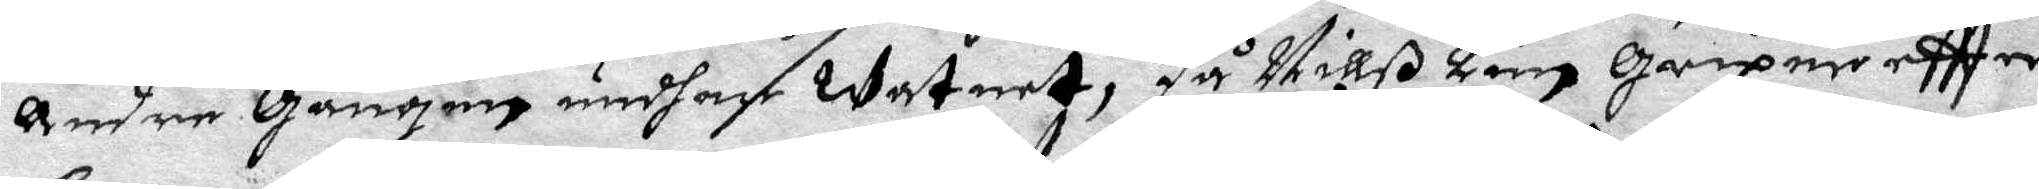andre Gången undher watnet, då Nills Linn griper eftter
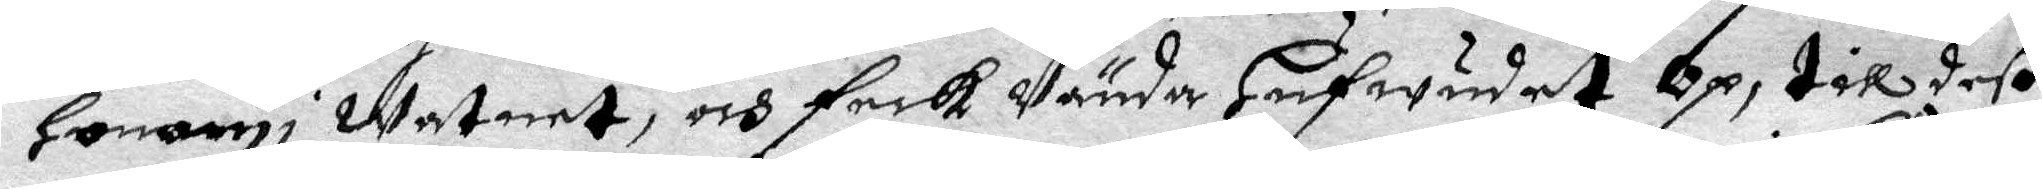Honom i watnet, och feck Vända Hufwudet Op, till deß
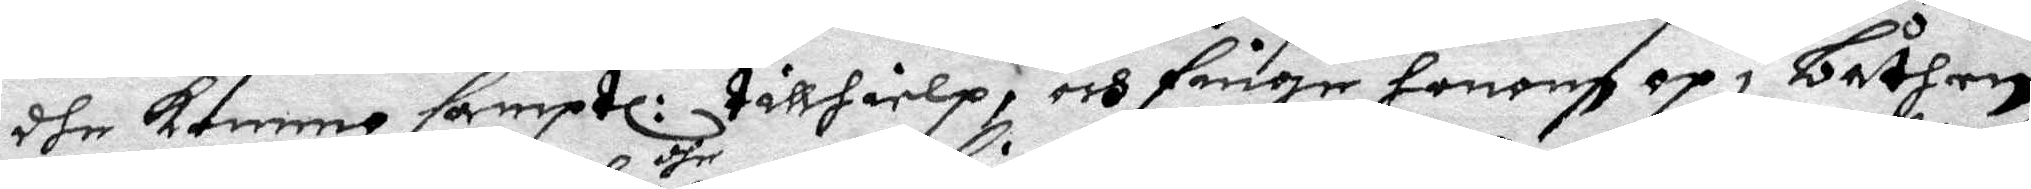dhe kommo samptl: tilhielp, och finge honom op i båthen,
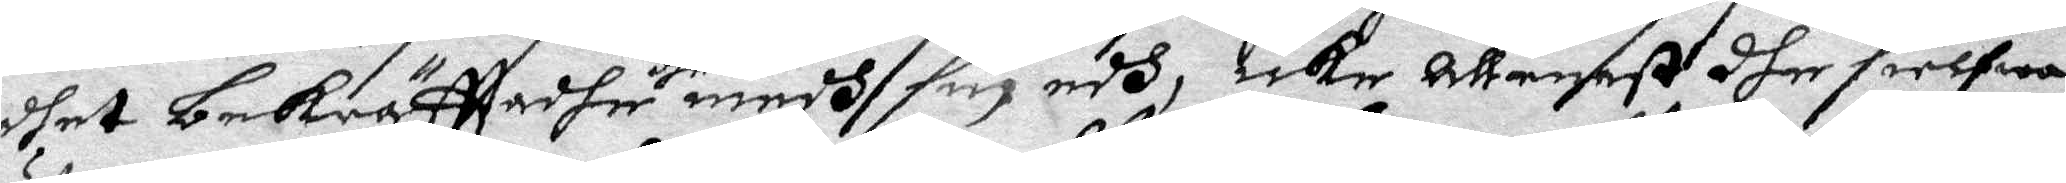dhet bekräfttadhe dhe medh sin edh, icke allenast dhe sielfwa
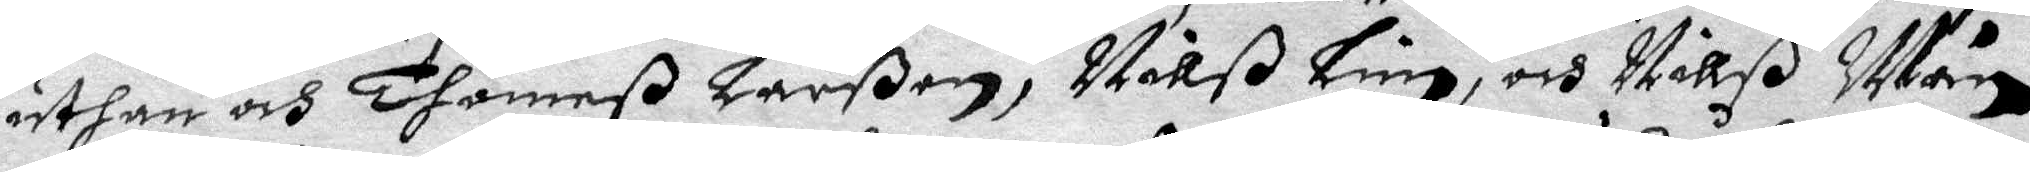uthan och Thomaß Larßon, Nillß Lin, och Nillß Mån¬
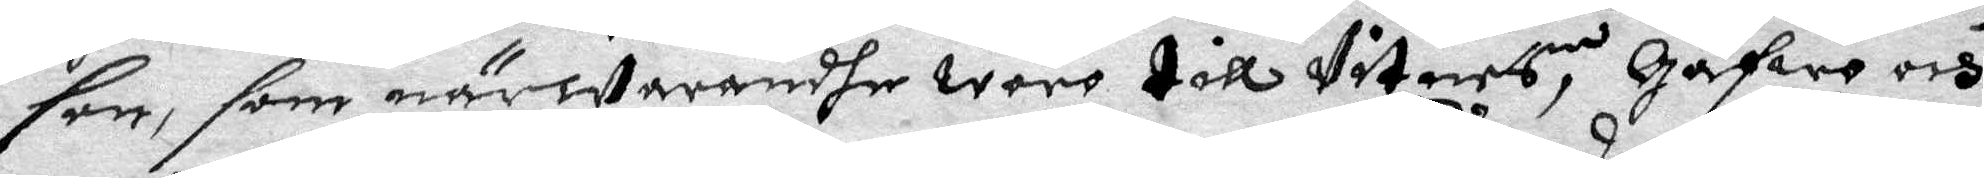sen, som närwarandhe woro till Vitnes, Gåfwo och
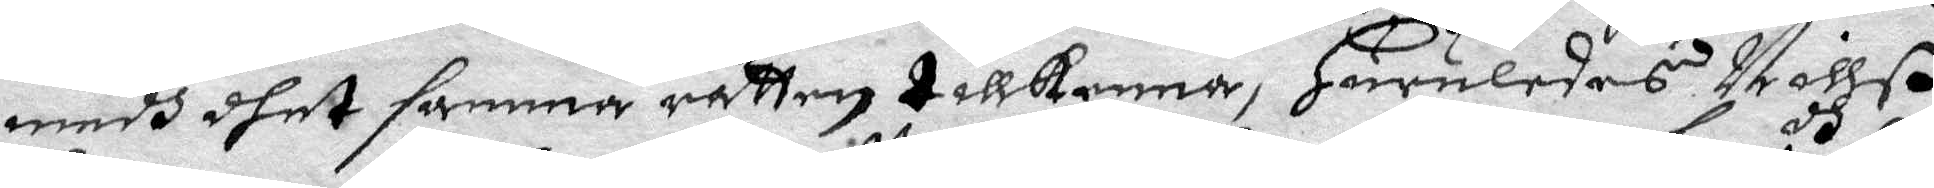medh dhet samma rätten tillkenna, Huruledes Nillß
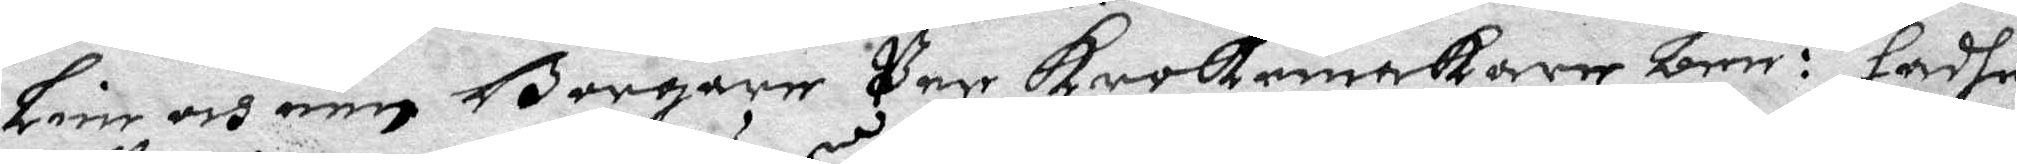Linn och een Borgare Per Krokmakare ben:dh hadhe
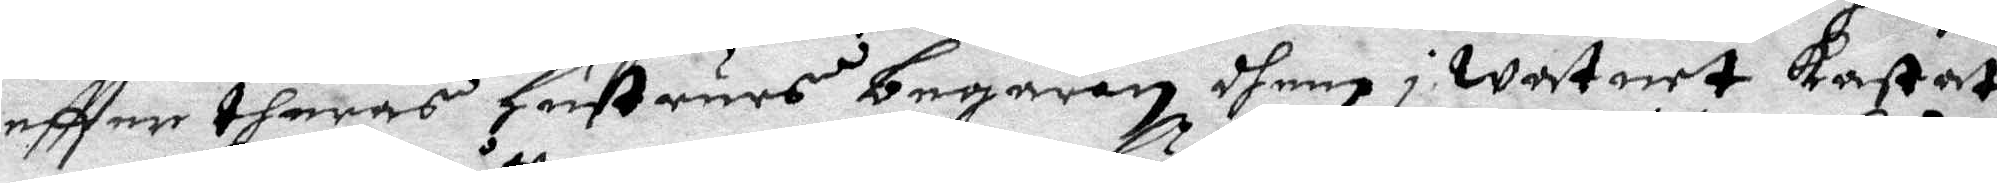eftter dheras Hustrus begäran dhem i watnet kastat
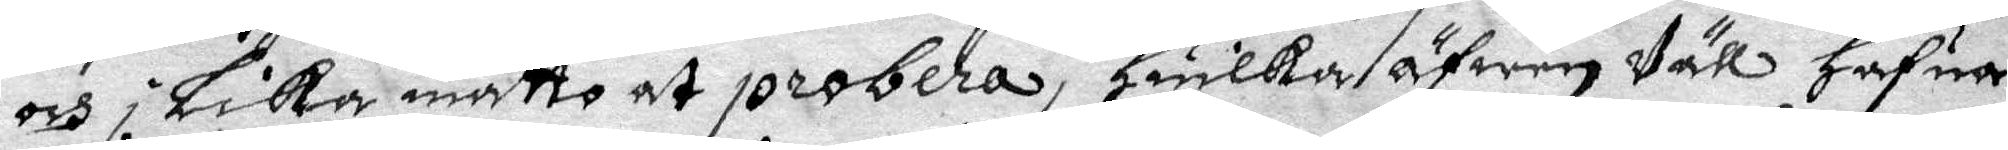och i Lika måtto at probera, Huilka äfwen Väll hafua
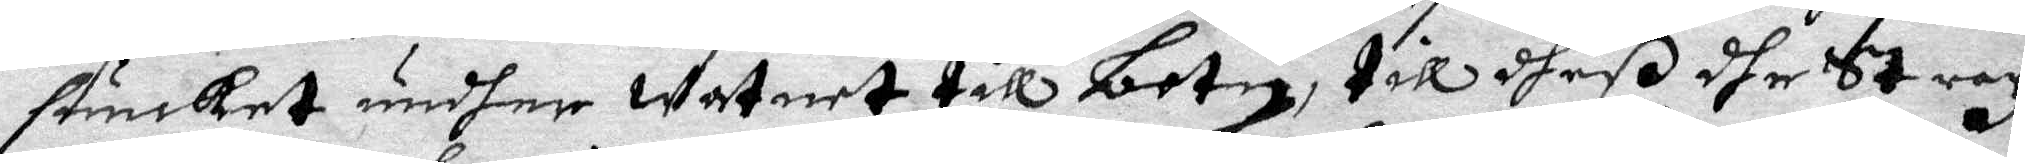siunket undher watnet till botn, till dheß dhe Strax
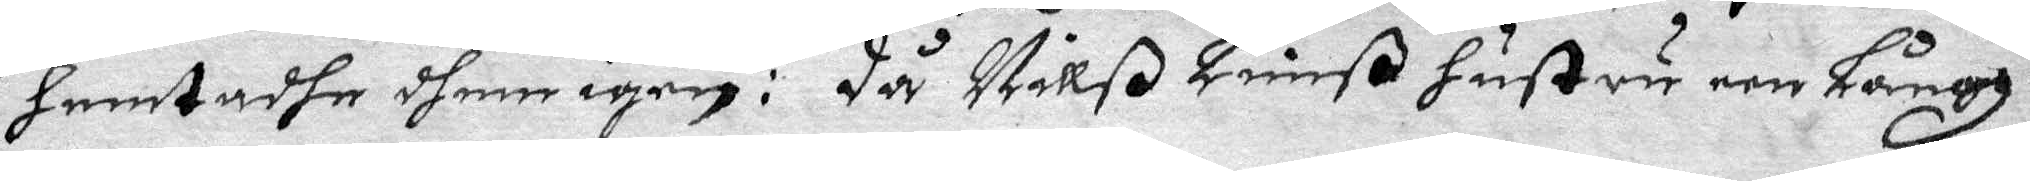hemtadhe shem igen: Då Nillß Linnß hustru een Långh
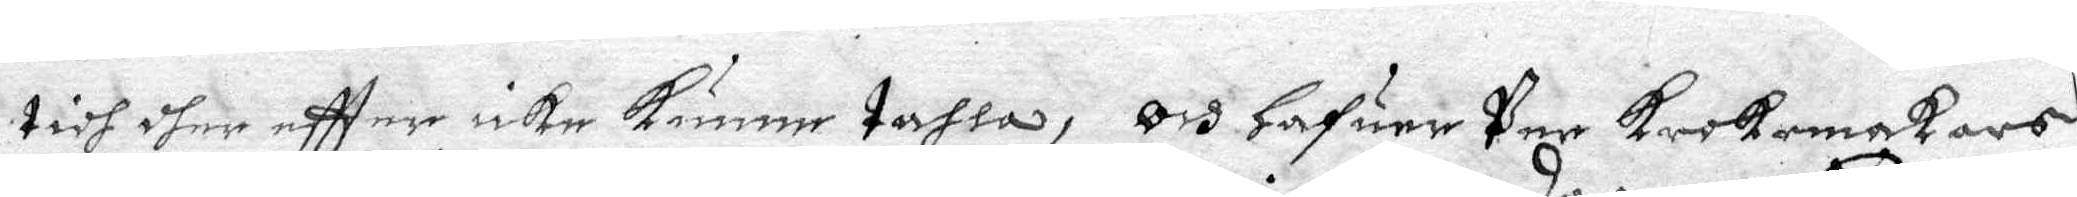tidh dher eftter icke kunne tahla, Oc Hafuer Per Krokmakares
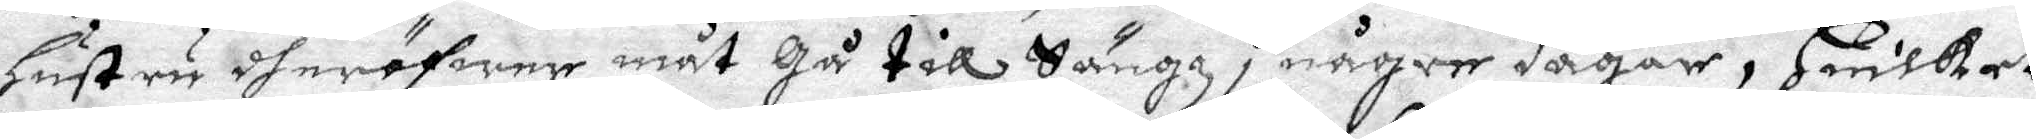Hustru dheröfwer måt Gå till Sängz i någre Dagar, Huilket
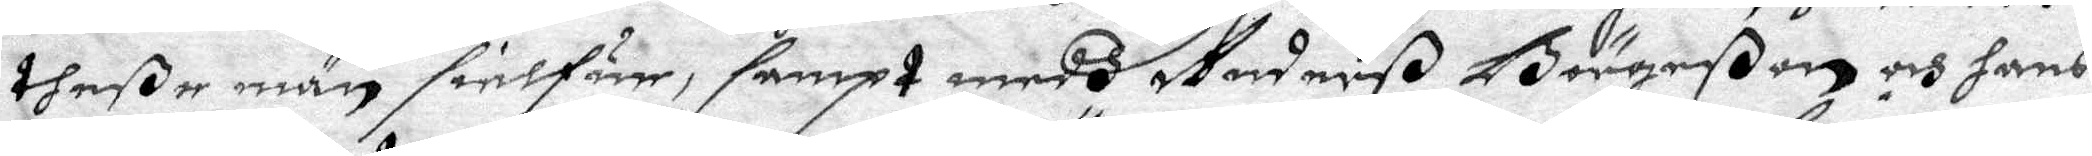dheße man sielfua, sampt medh Anderß Börgeßon och hans
